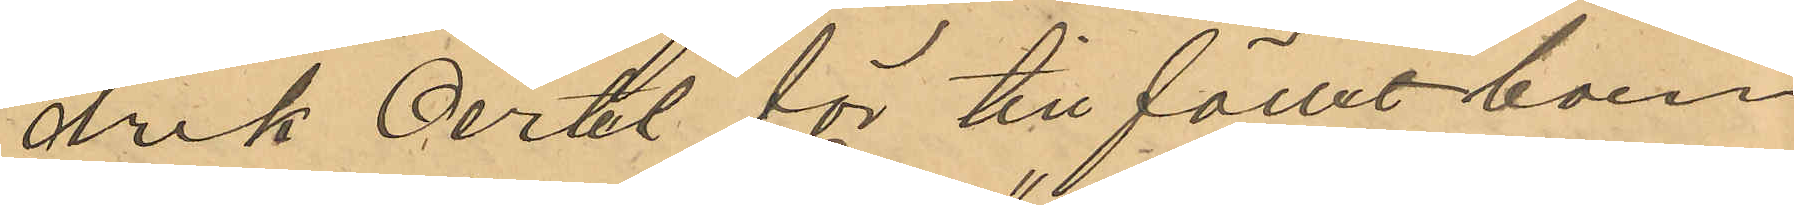drik Oertel för tillfället boen¬
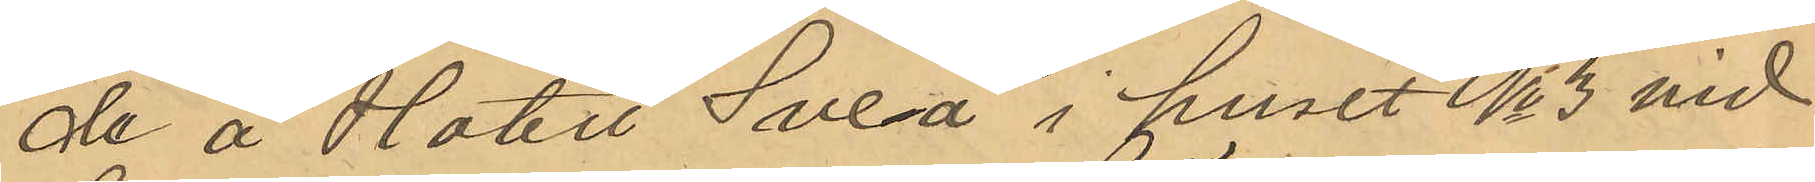de å Hotell "Svea" i huset No 3 vid
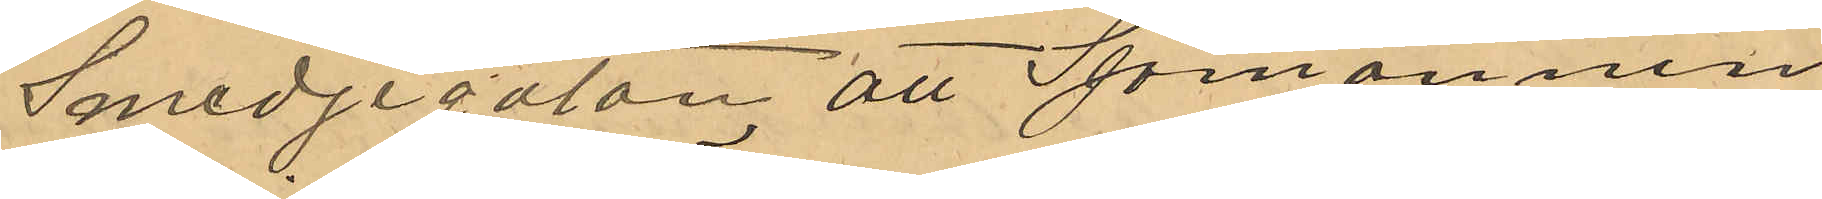Smedjegatan, att Sjömannen
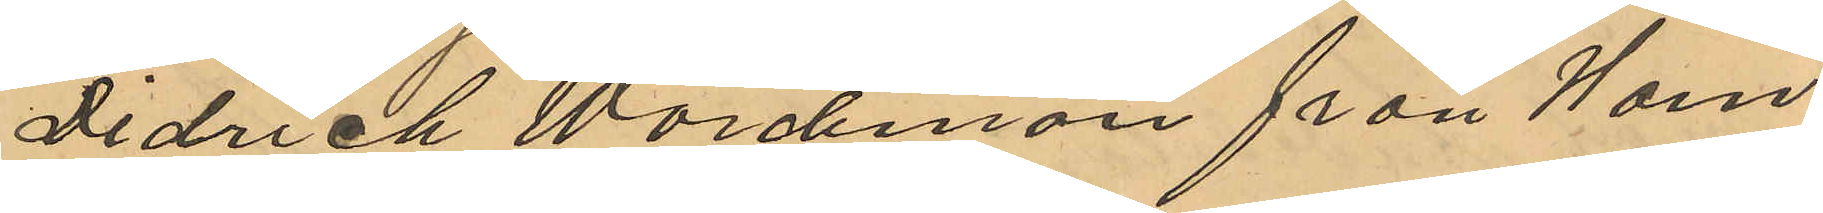Didrich Wördeman från Ham¬
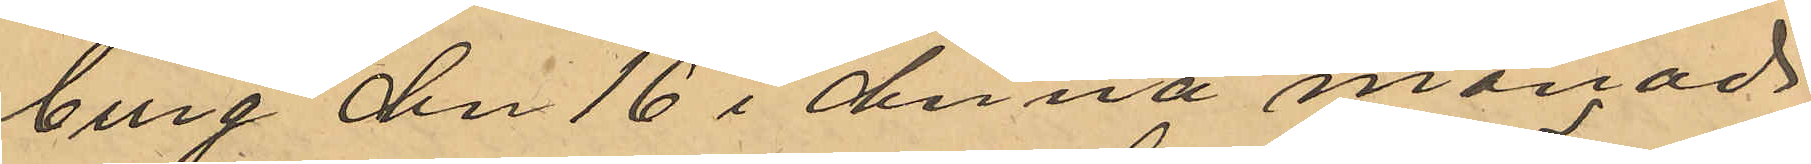burg den 16 i denna månad
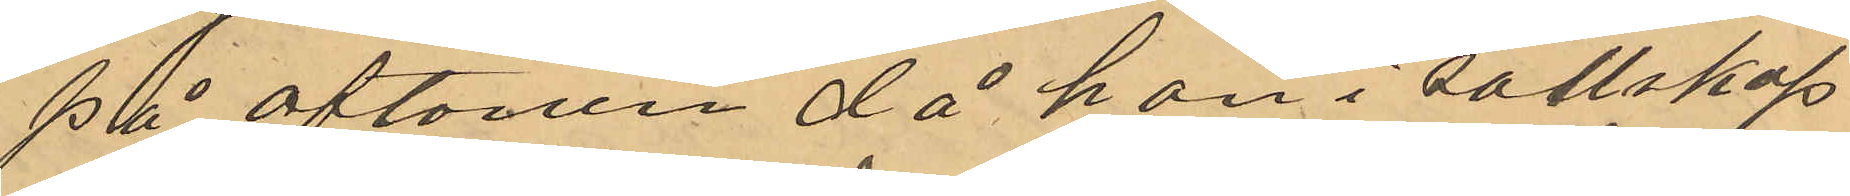på aftonen då han i sällskap
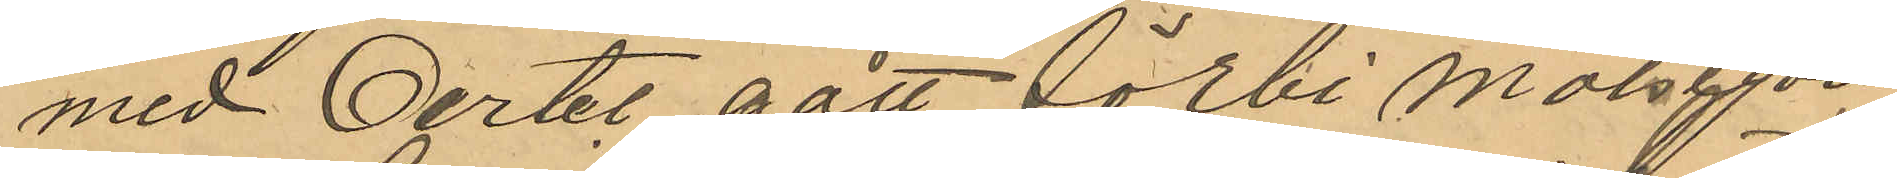med Oertel gått förbi Målsegan¬
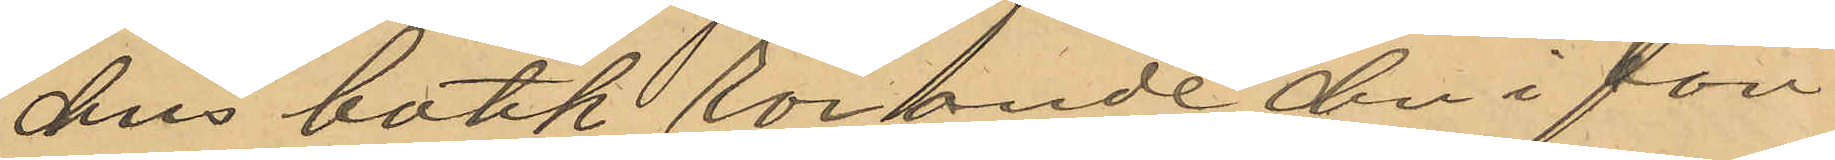dens butik rörande den i fön¬
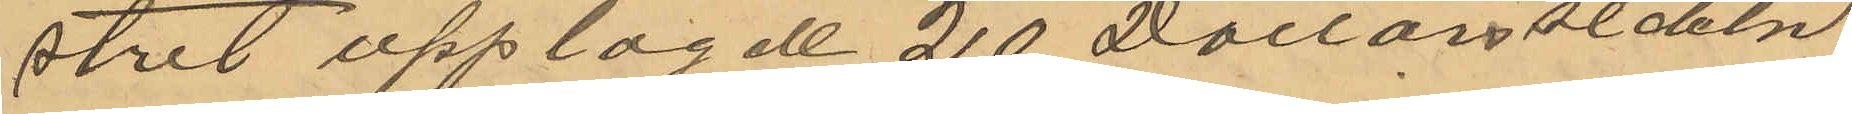stret upplagde 20 Dollars sedeln
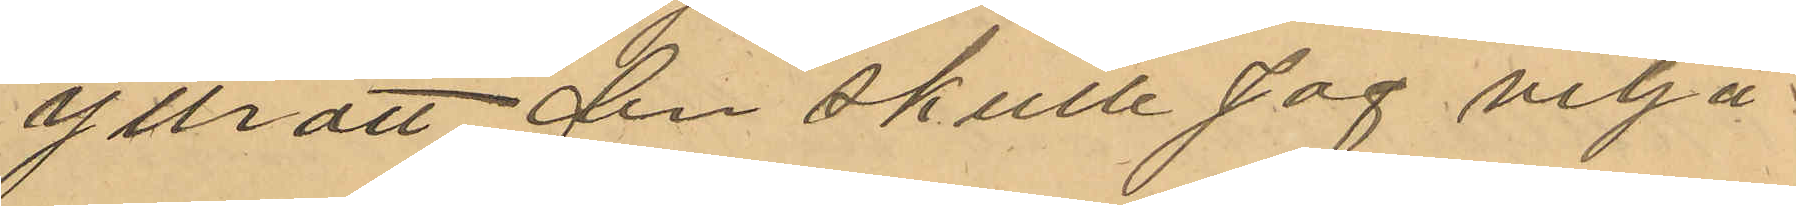yttratt den skulle jag vilja¬
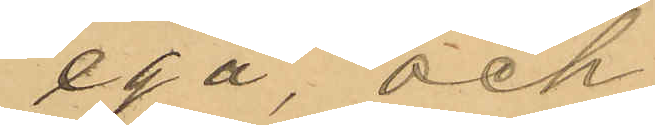ega, och
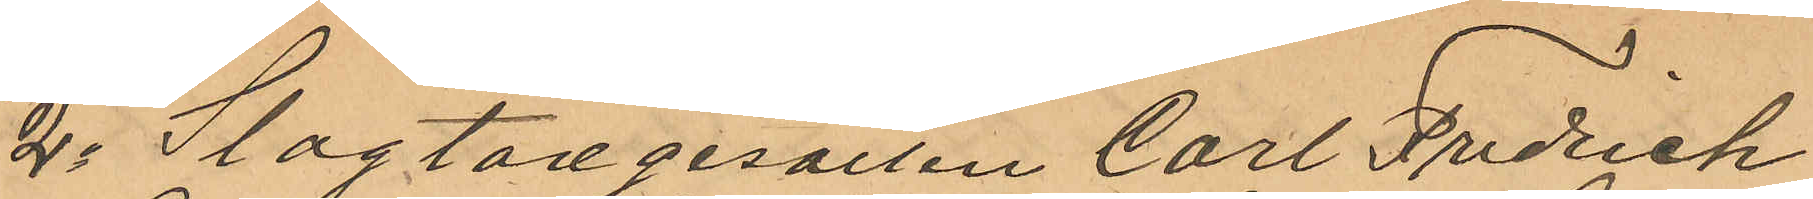2o Slagtaregesällen Carl Fredrich
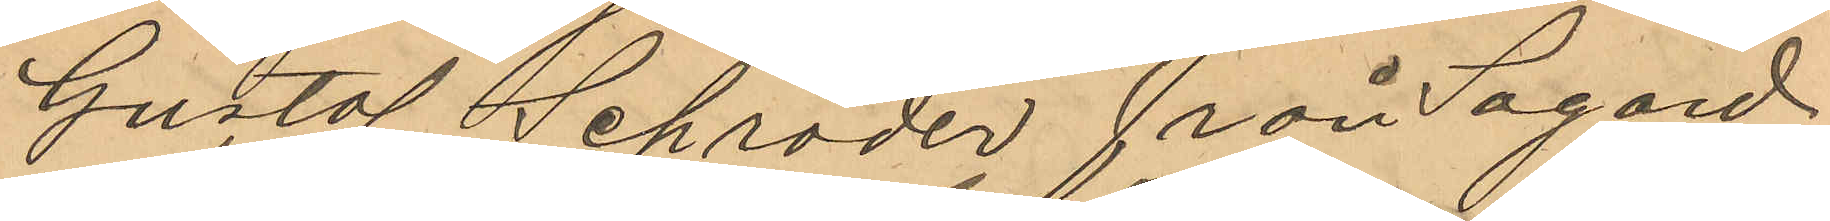Gustaf Schröder från Sagard
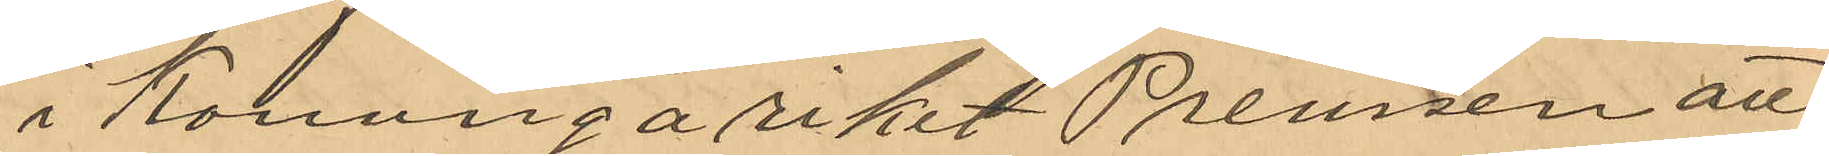i Konungariket Preussen att
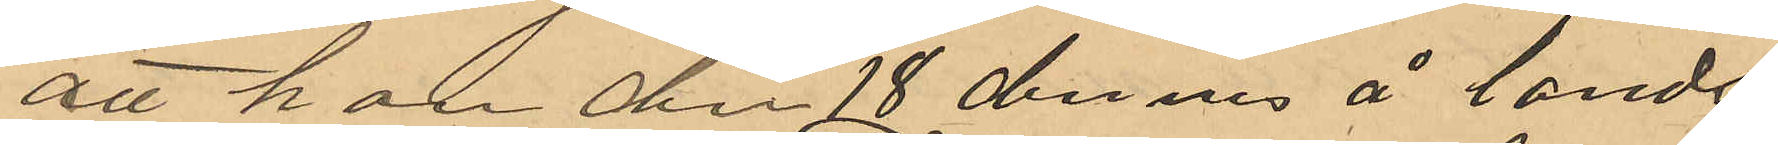att han den 18 dennes å lands¬
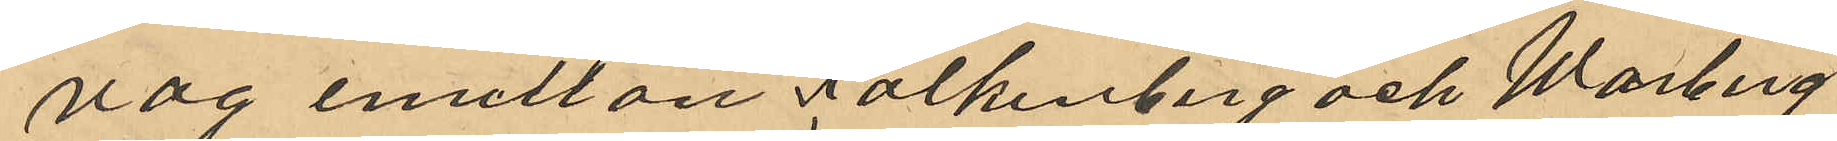vag emellan Falkenberg och Warberg
